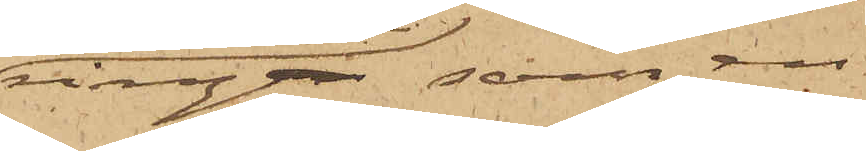ringen, som en
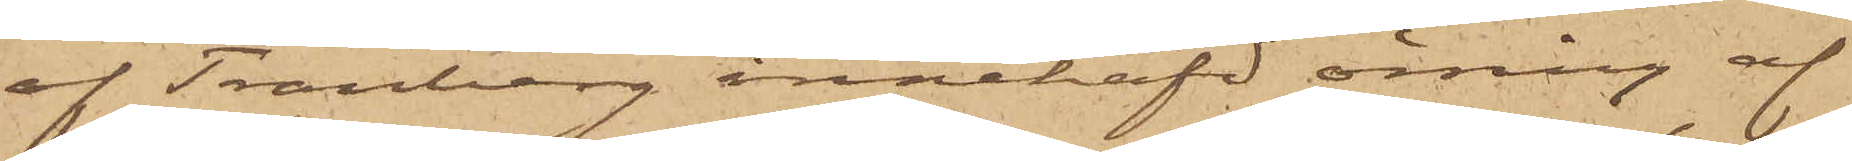af Tranberg innehafd örring af
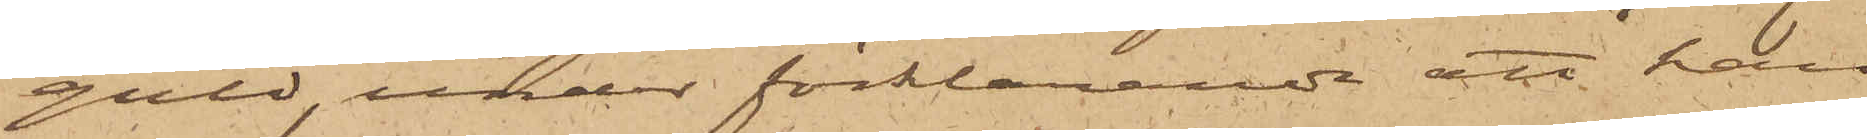guld, under förklarande att han
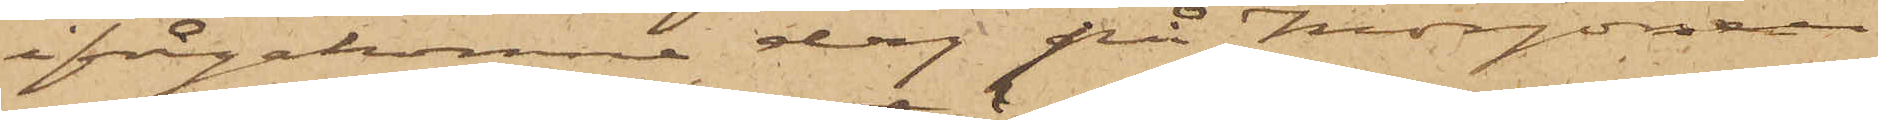ifrågakomne dag på morgonen
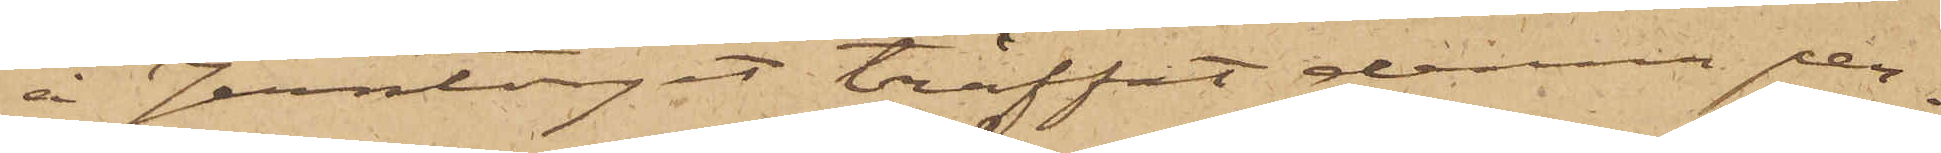å Jerntoget träffat denna per¬
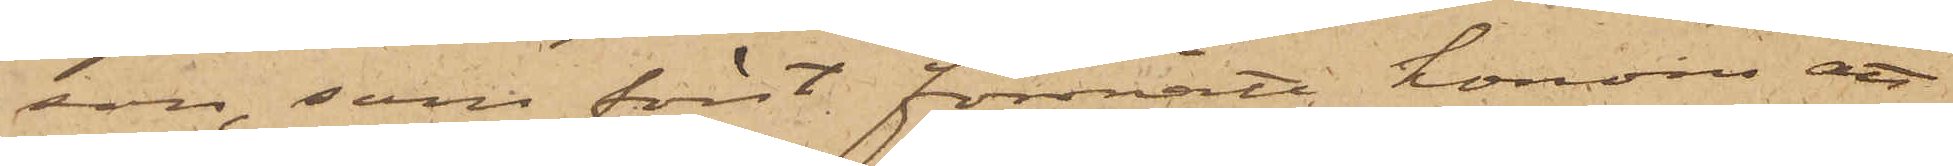son, som först förmått honom att
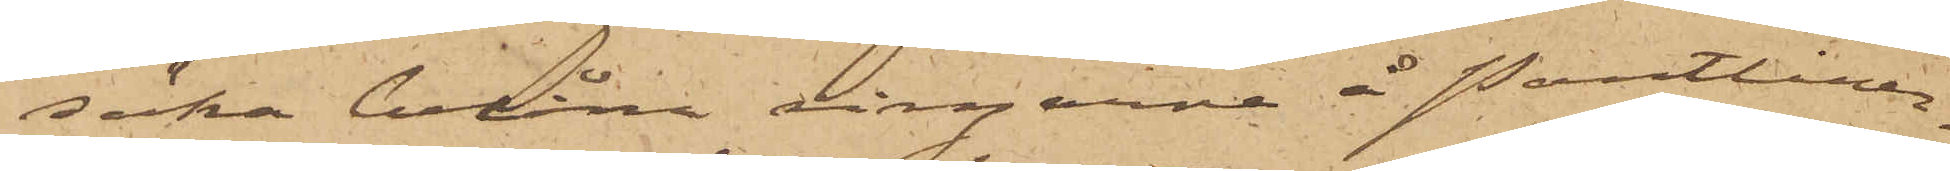söka belåna ringarne å Pantlåner¬
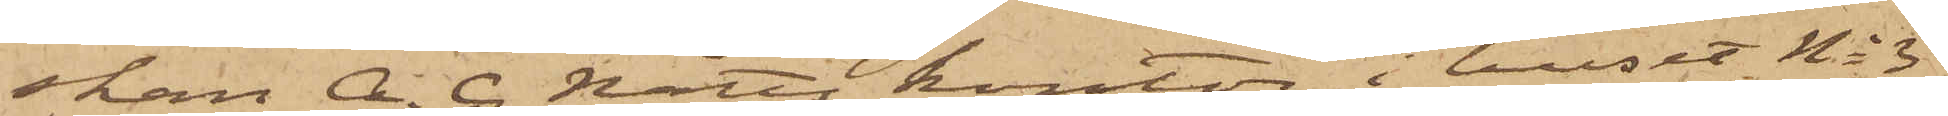skan A. C. Nätts kontor i huset No 3
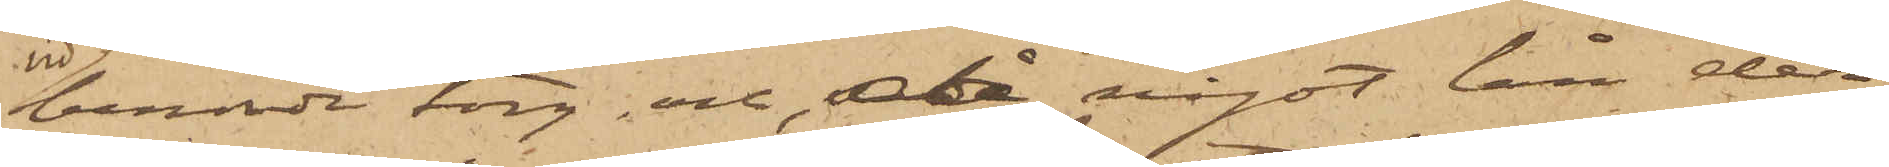vid berörde torg, och, då något lån der
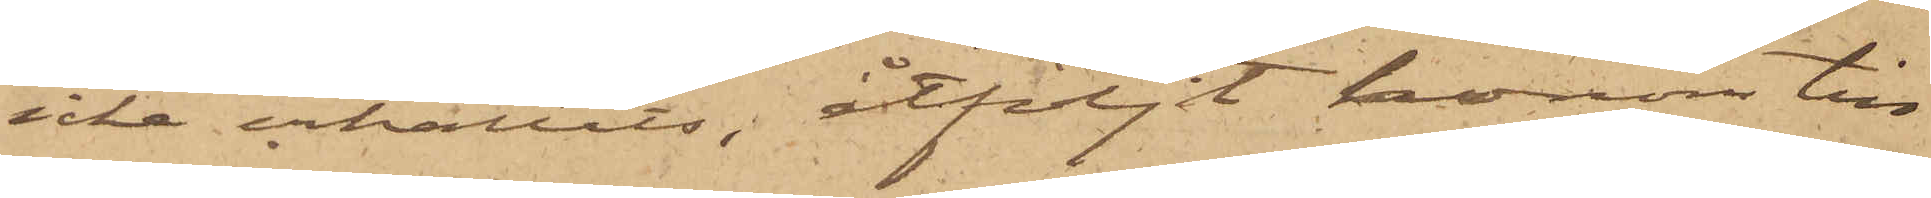icke erhållits, åtföljt honom till
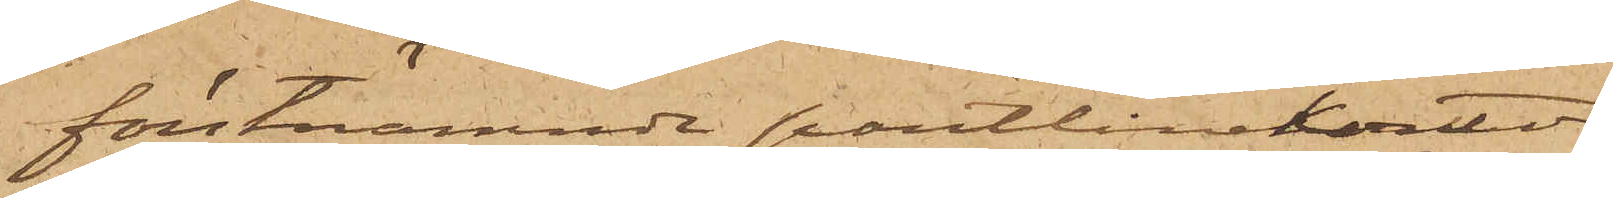förstnämnde pantlånekontor.
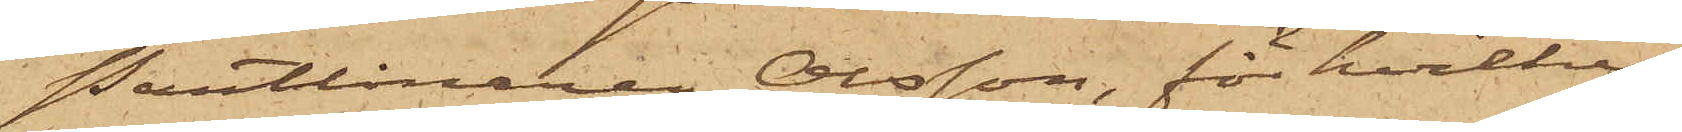Pantlånaren Olsson, för hvilken
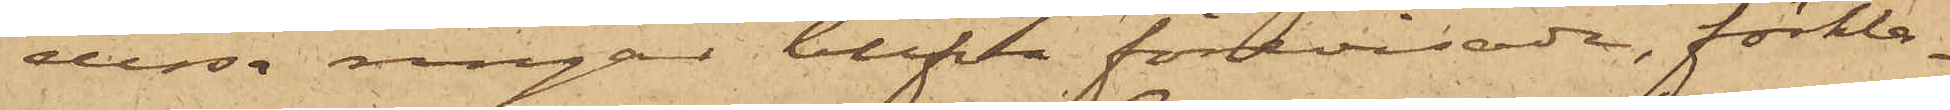dessa ringar blifva förevisade, förkla¬
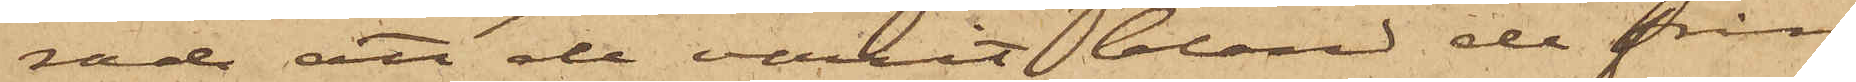rade att de varit bland de från
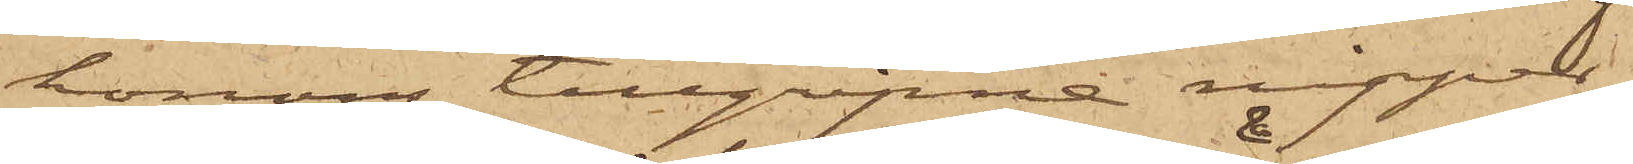honom tillgripne nipper.
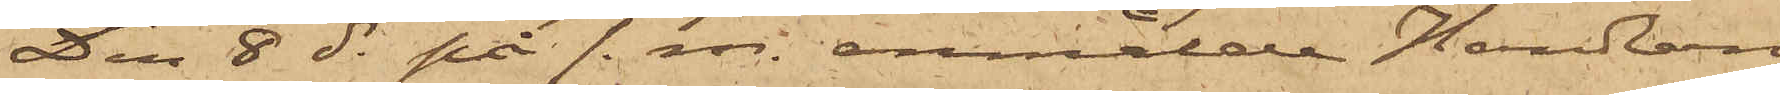Den 8 ds på f. m. anmälde Handlan¬
